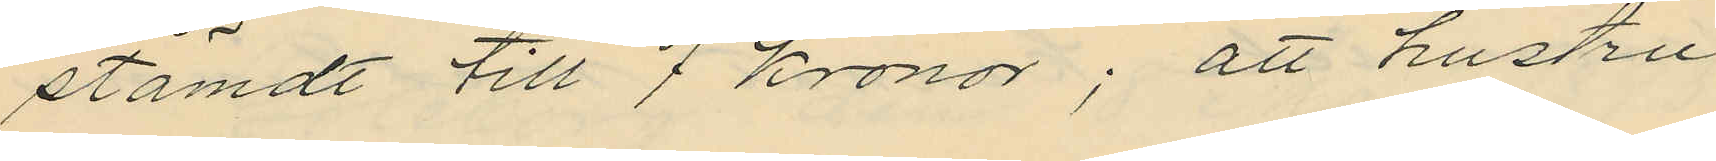stämdt till 7 kronor; att hustru
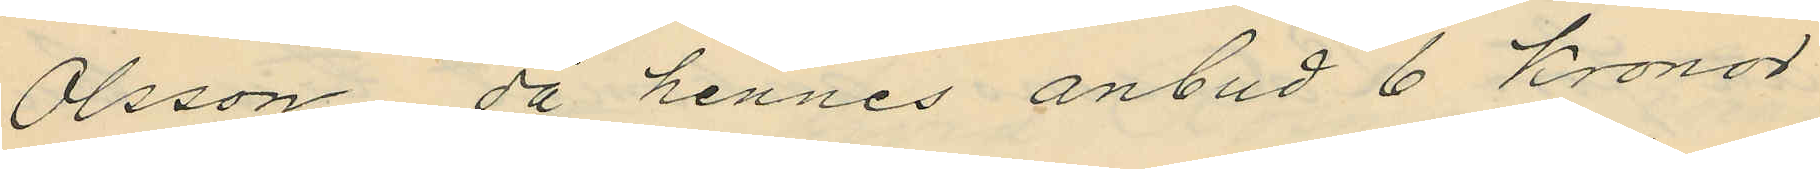Olsson då hennes anbud 6 Kronor
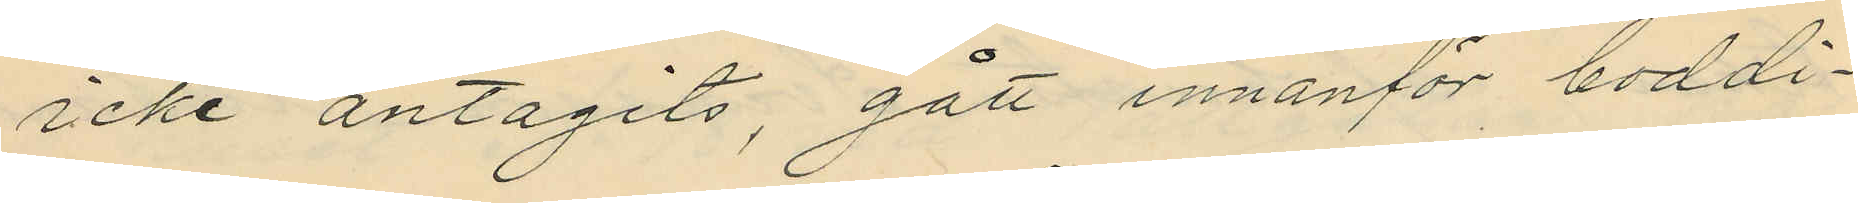icke antagits, gått innanför boddi¬
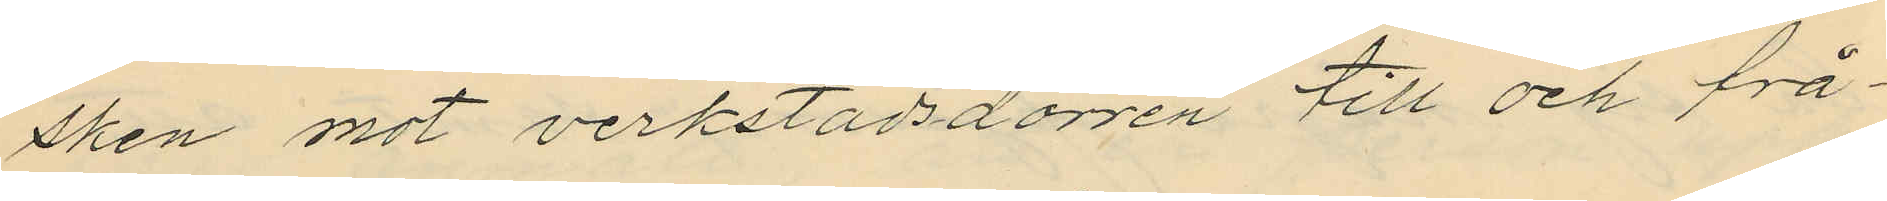sken mot verkstadsdörren till och frå¬
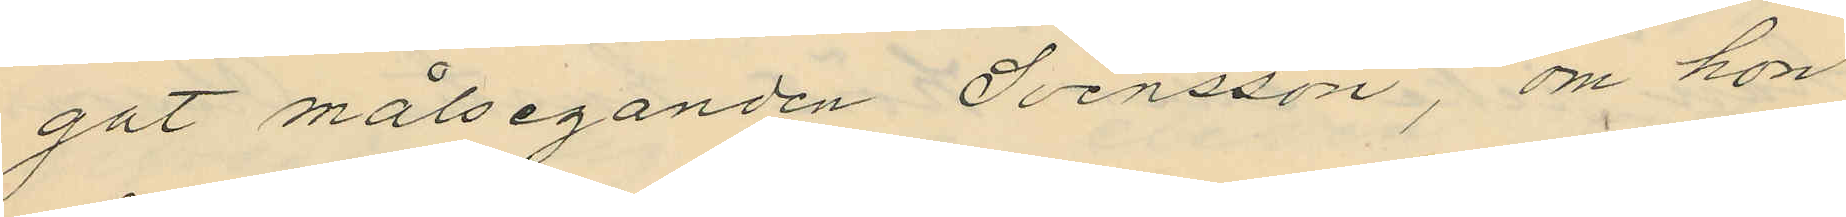gat målseganden Svensson, om hon
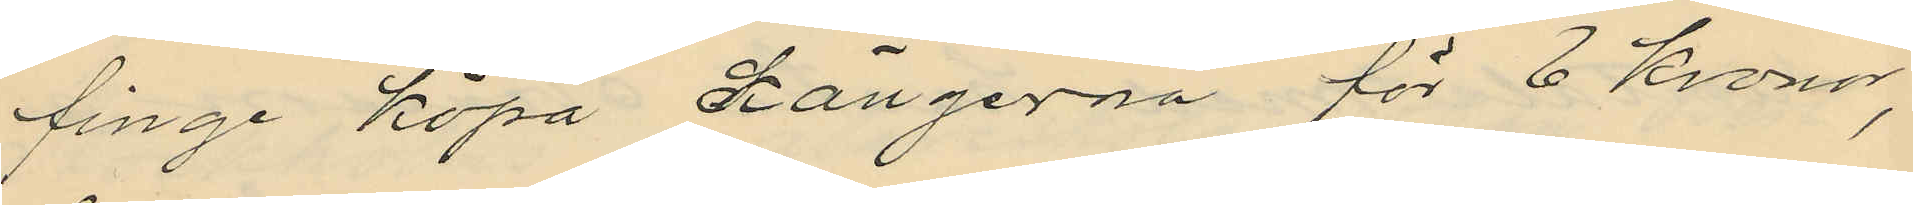finge köpa kängerna för 6 Kronor,
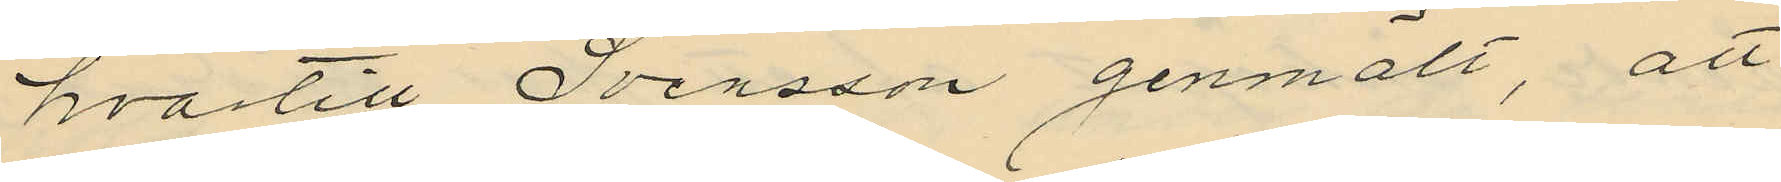hvartill Svensson genmält, att
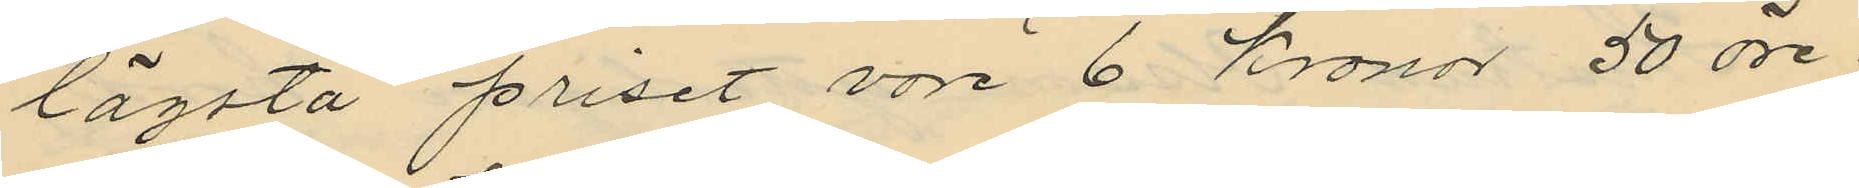lägsta priset vore 6 kronor 50 öre;
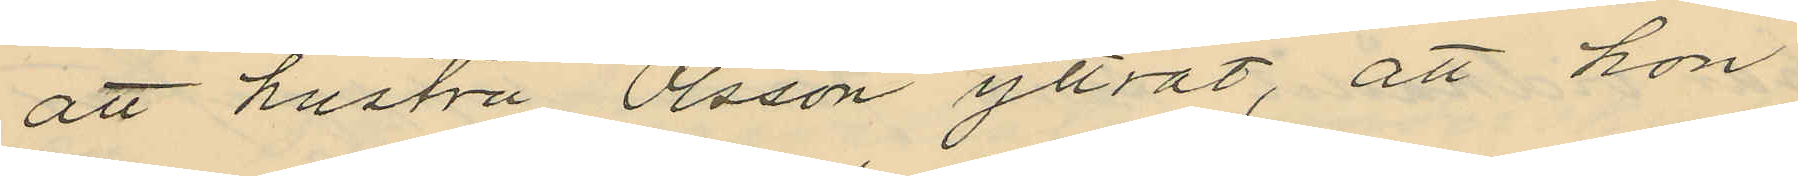att hustru Olsson yttrat, att hon
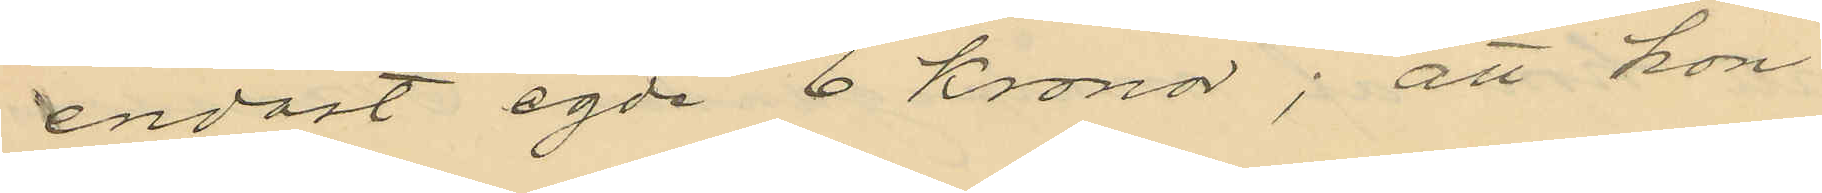endast egde 6 kronor; att hon
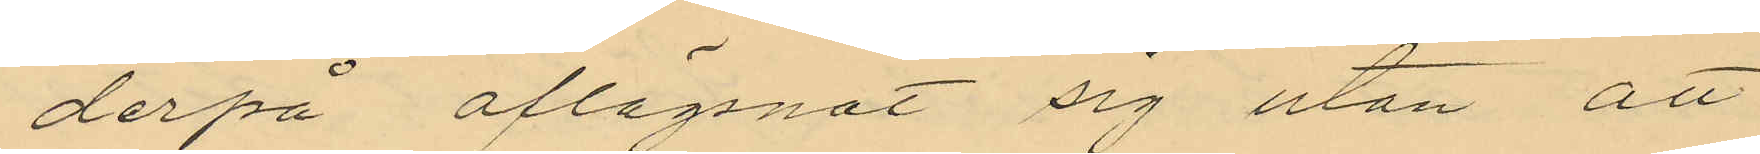derpå aflägsnat sig utan att
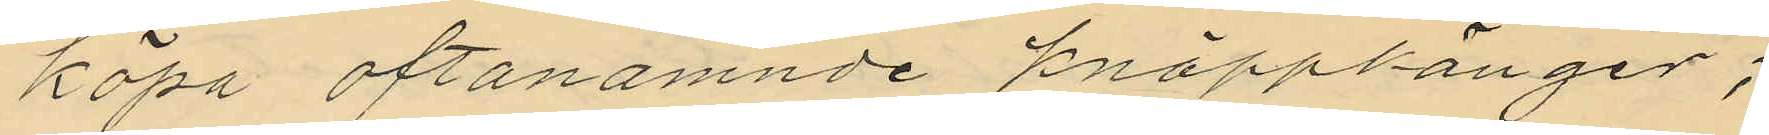köpa oftanämnde knäppkänger;
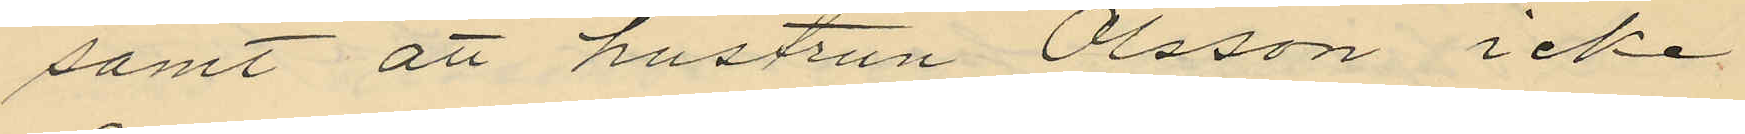samt att hustrun Olsson icke
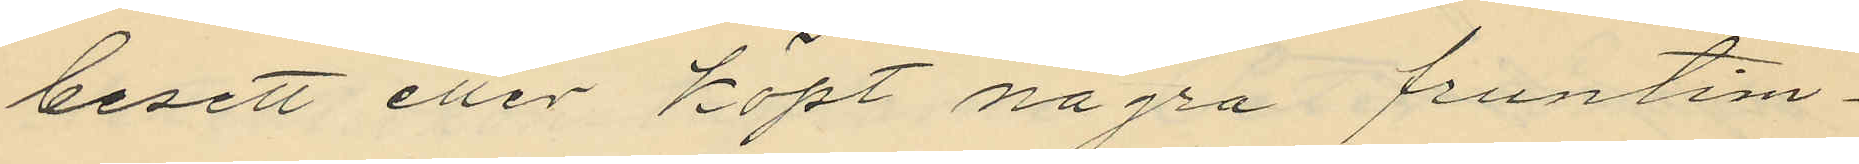besett eller köpt några fruntim¬
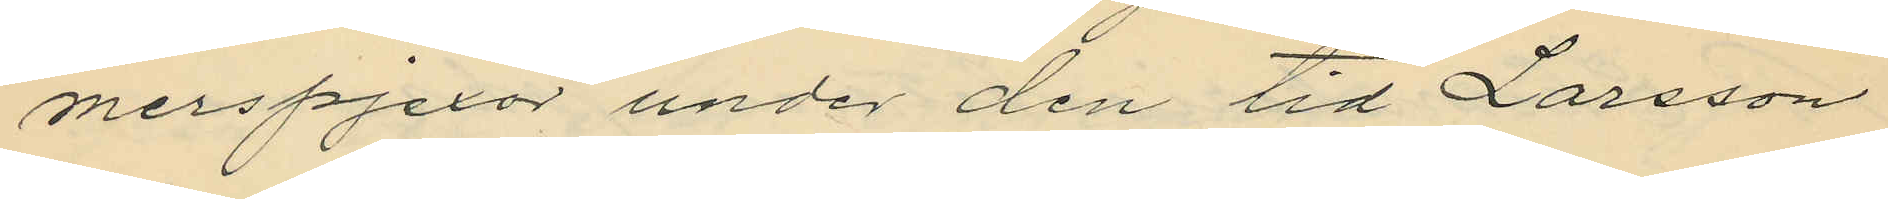merspjexor under den tid Larsson
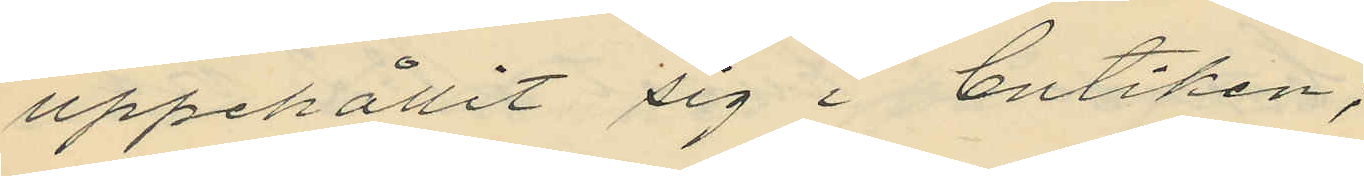uppehållit sig i butiken;
